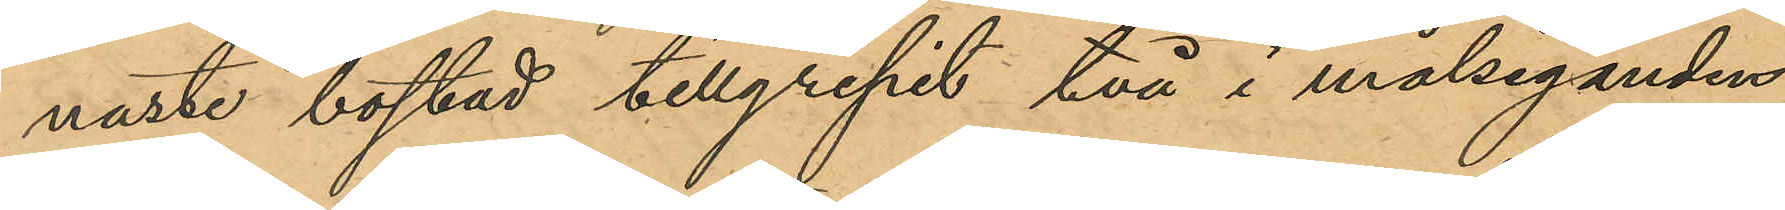naste bostad tillgripit två i målseganden
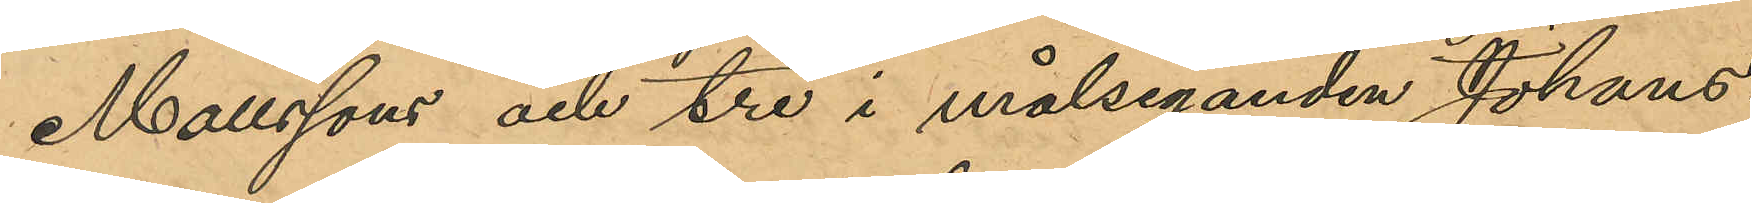Mattsons och tre i målseganden Johans¬
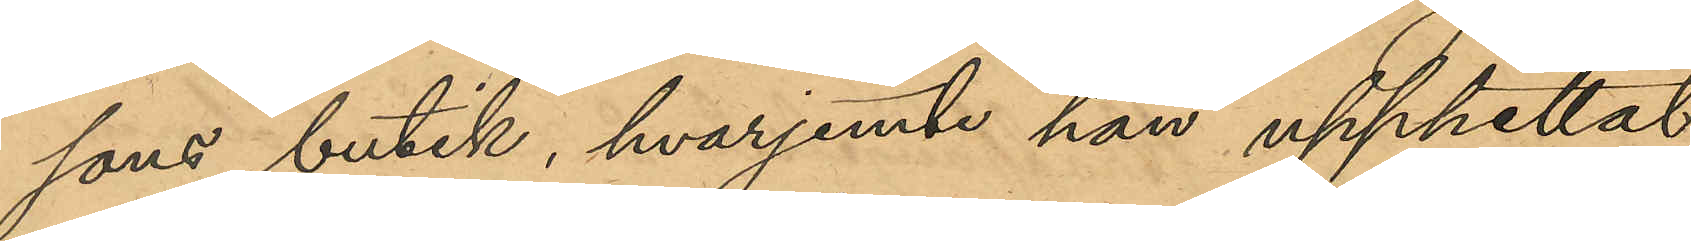sons butik, hvarjemte han upphittat
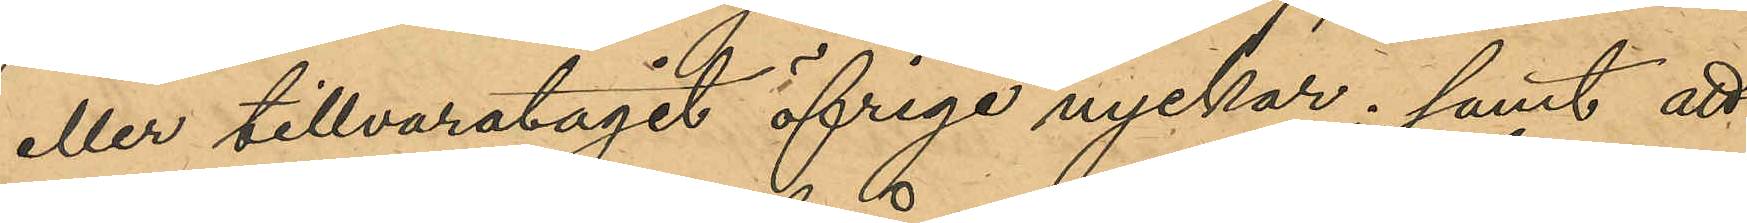eller tillvarataget öfriga nycklar; samt att
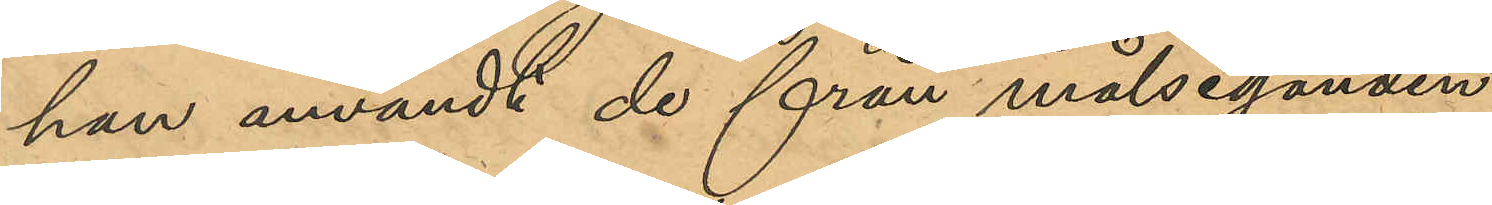han användt de från målseganden
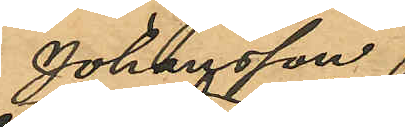Johansson
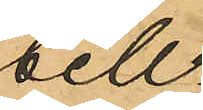till-
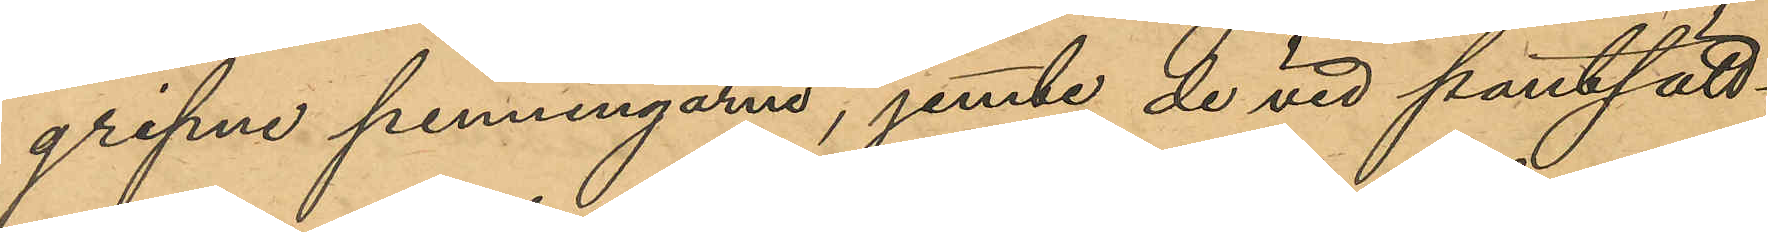gripne penningarne, jemte de vid pantsätt¬
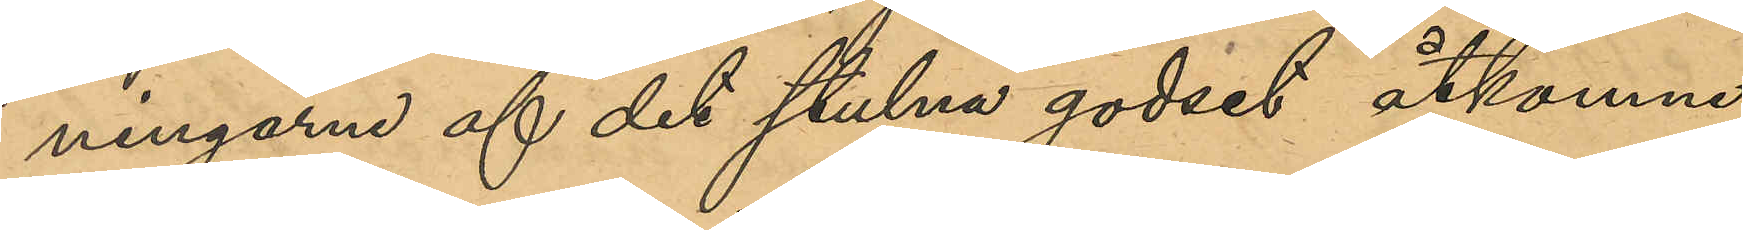ningarne af det stulna godset åtkomne
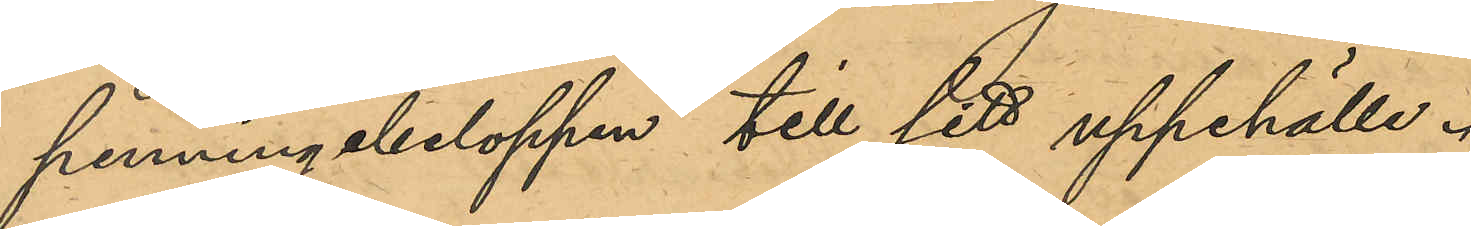penningabeloppen till sitt uppehälle.
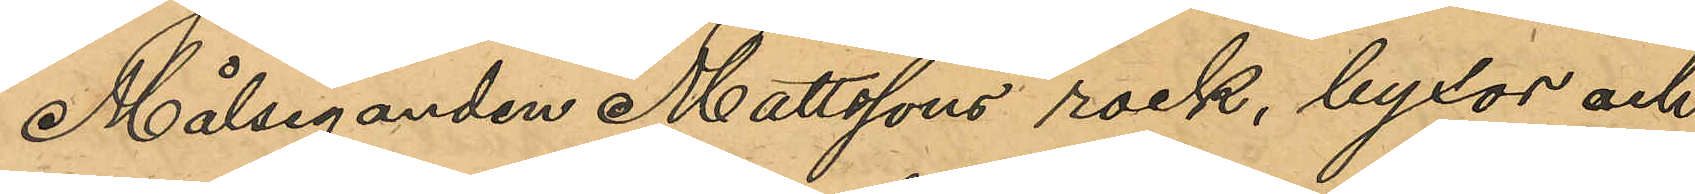Målsegande Mattsons rock, byxor och
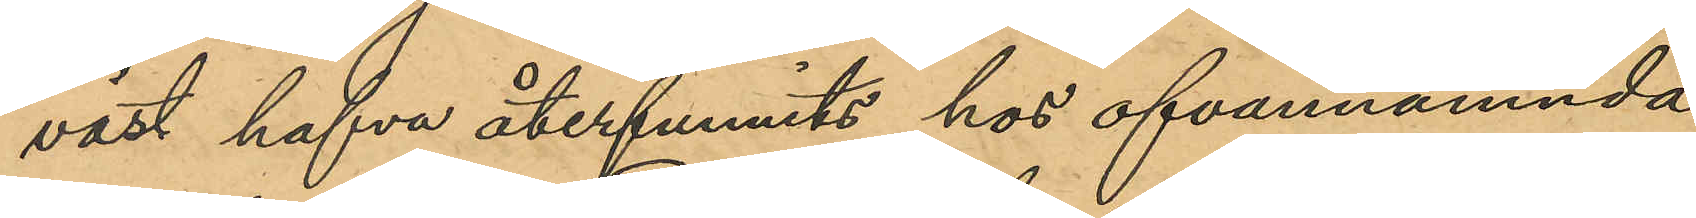väst hafva återfunnits hos ofvannämnda
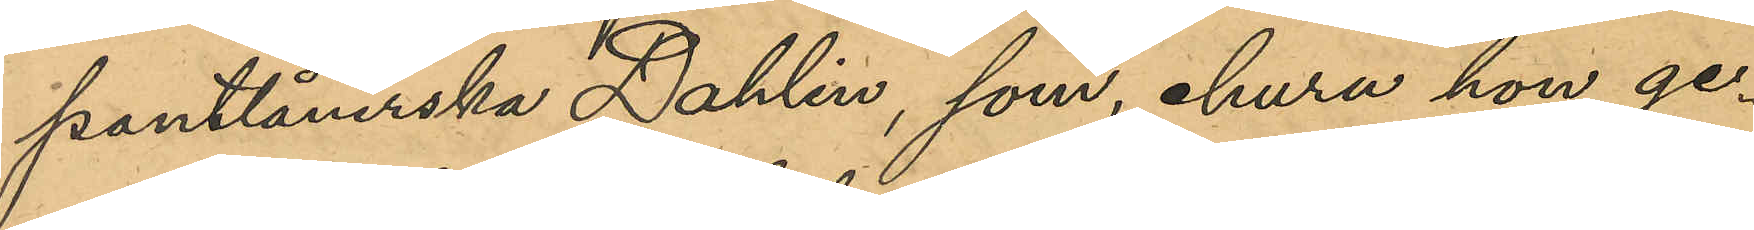pantlånerska Dahlin, som ehuru hon ge¬
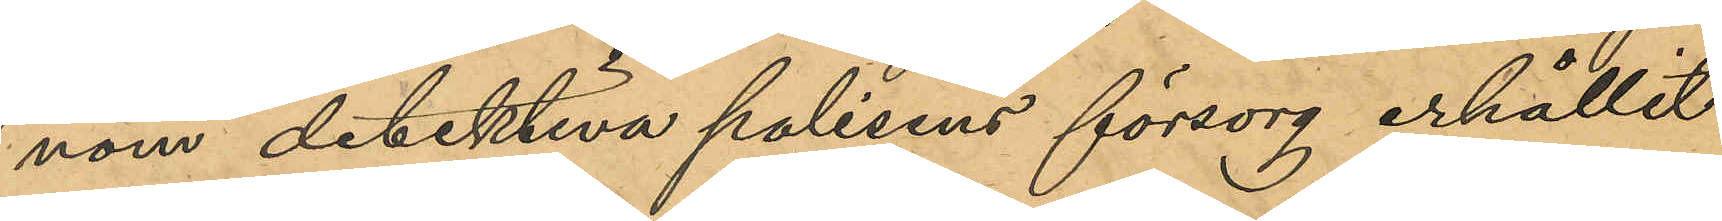nom detektiva polisens försorg erhållit
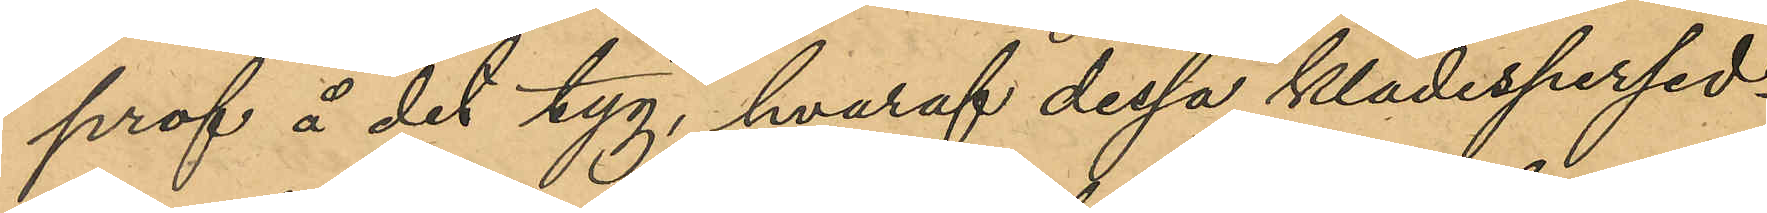prof å det tyg, hvaraf dessa klädespersed¬
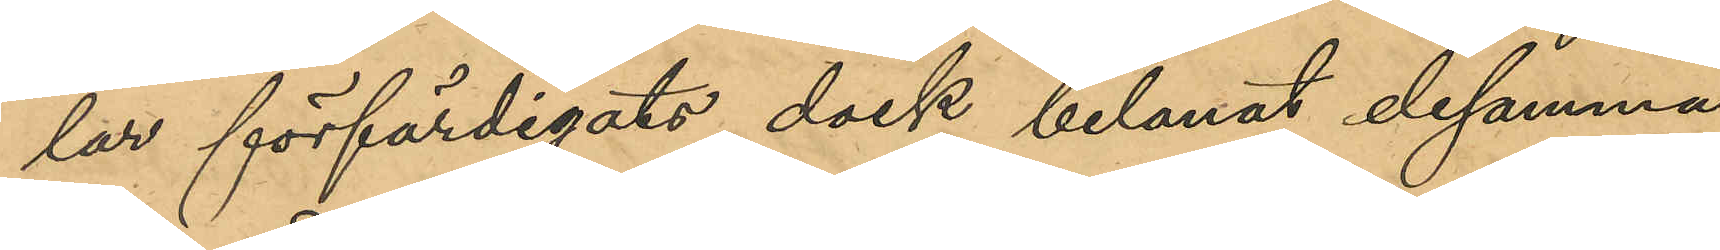lar förfärdigats, dock belånat desamma
